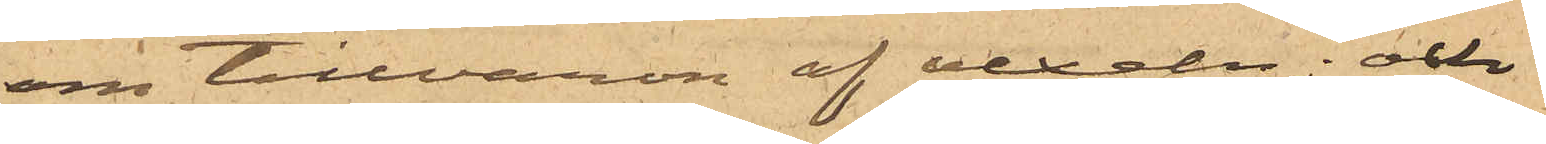om tillvaron af vexeln; och
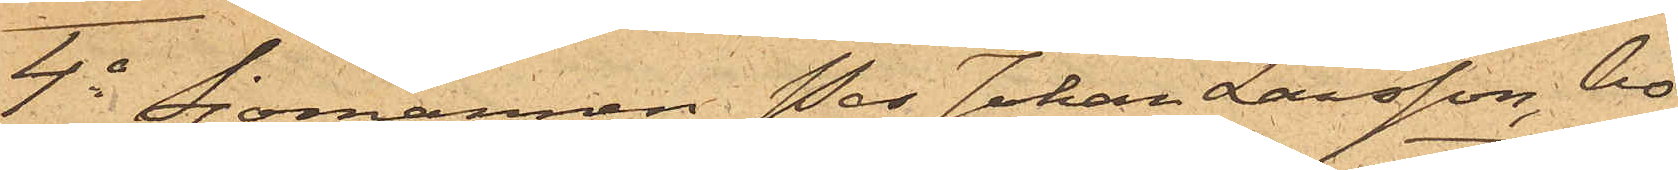4o Sjömannen Per Johan Larsson, bo¬
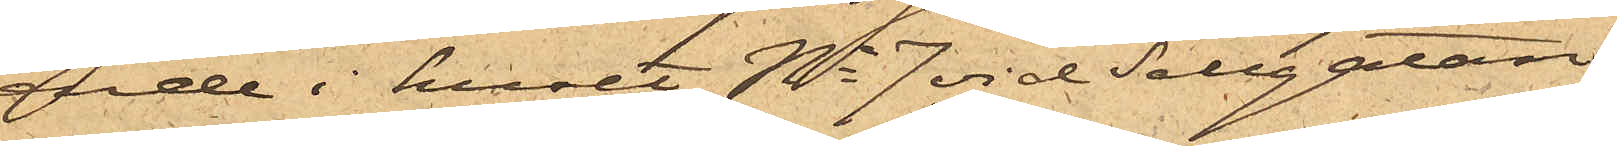ende i huset No 7 vid Sillgatan,
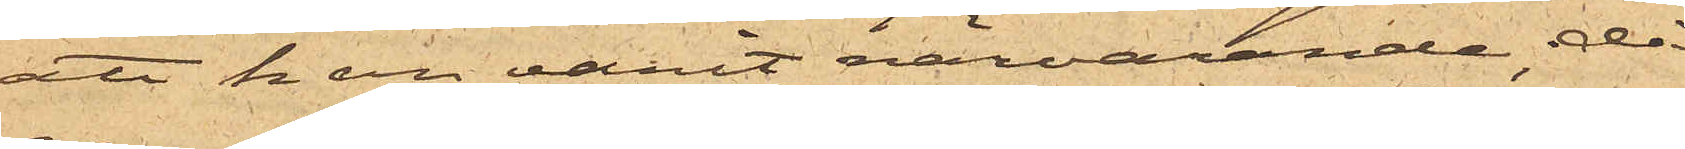att han varit närvarande, då
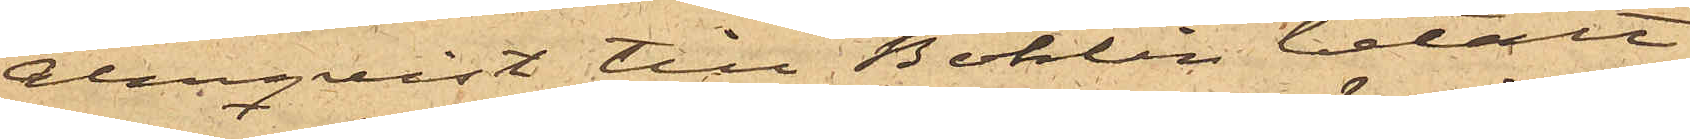Almquist till Bohlin betalt
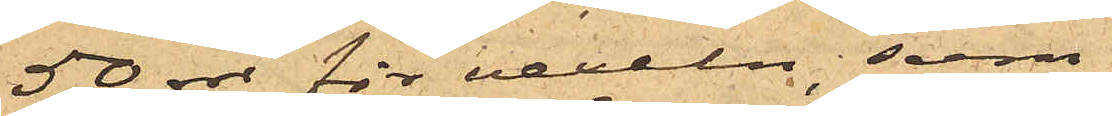50 rdr för vexeln; som
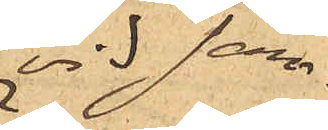vid sam¬
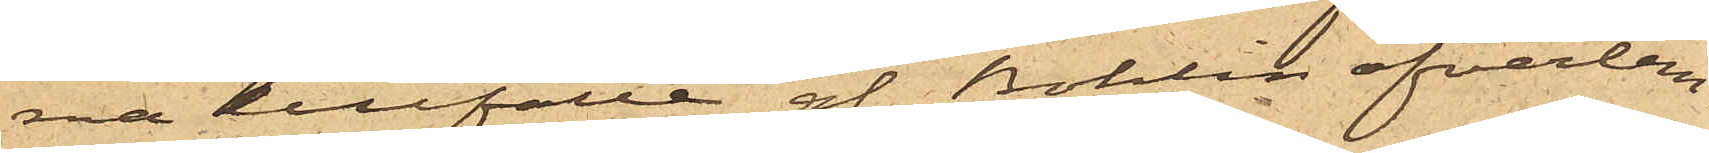ma tillfälle af Bohlin öfverlem¬
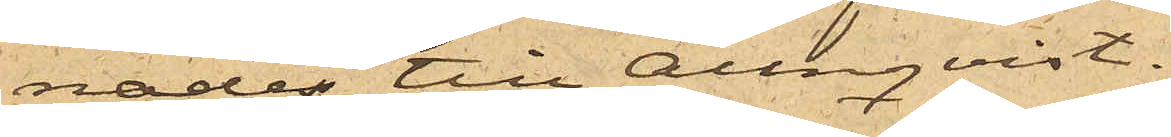nades till Almquist.
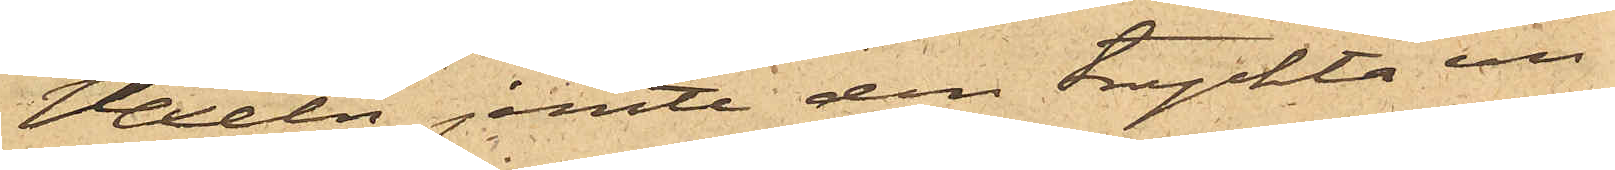Vexeln jemte den tryckta un¬
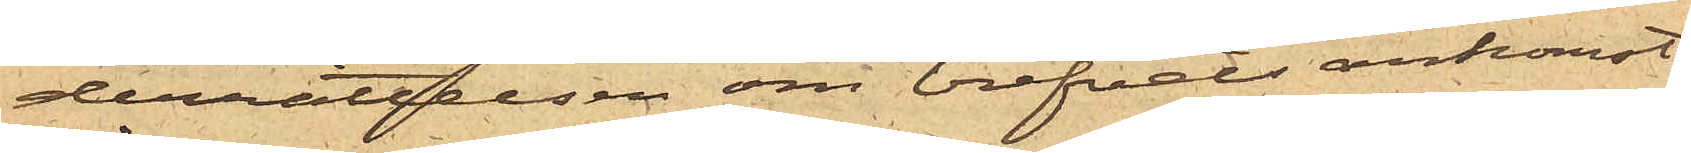derrättelsen om brefvets ankomst
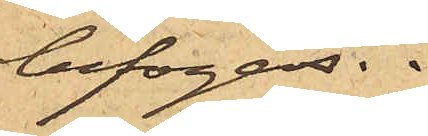bifogas.
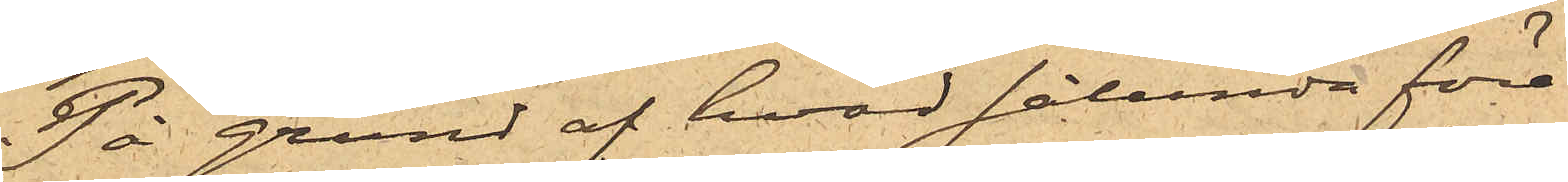På grund af hvad sålunda före¬
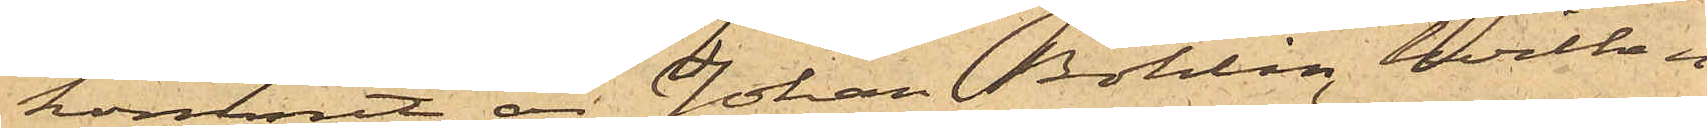kommit, är Johan Bohlin, hvilken
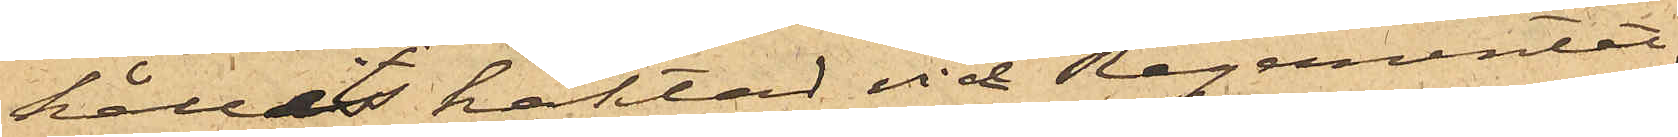hållits häktad vid Regementet,
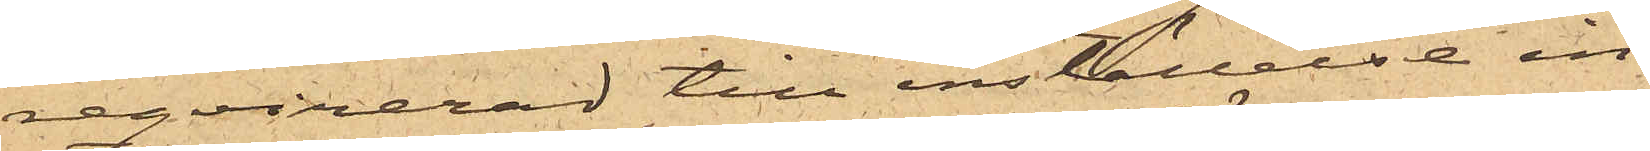reqvirerad till inställelse in¬
